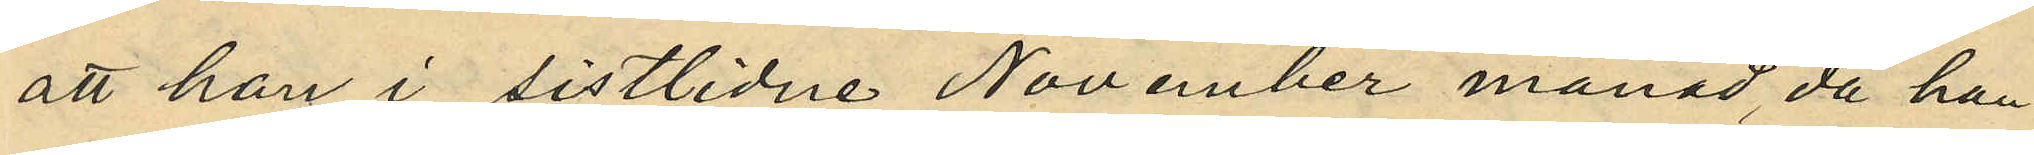att han i sistlidne November månad, då han
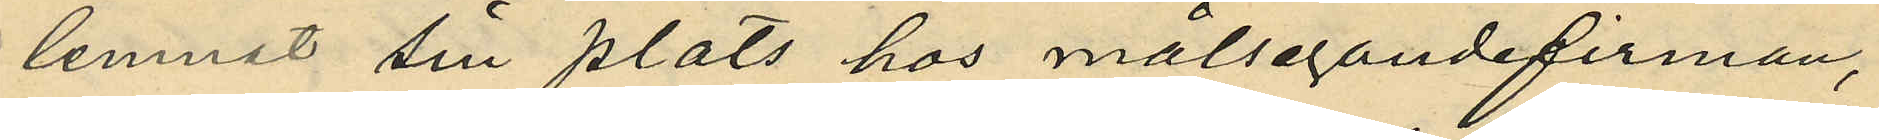lemnat sin plats hos målsegandefirman,
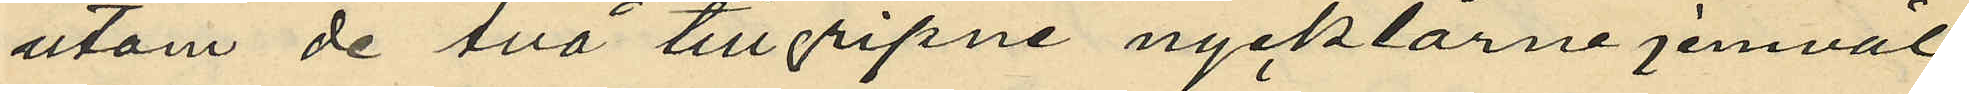utom de två tillgripne nycklarne jemväl
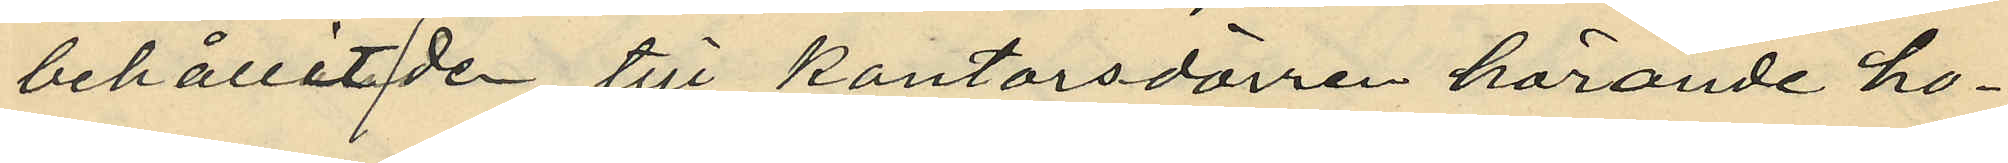behållit de till kontorsdörren hörande ho¬
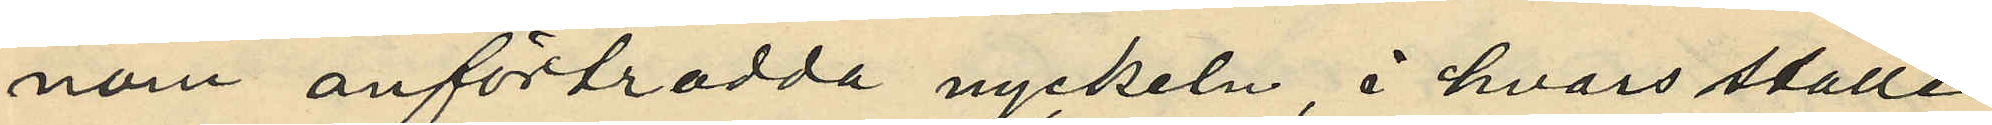nom anförtrodda nyckeln, i hvars ställe
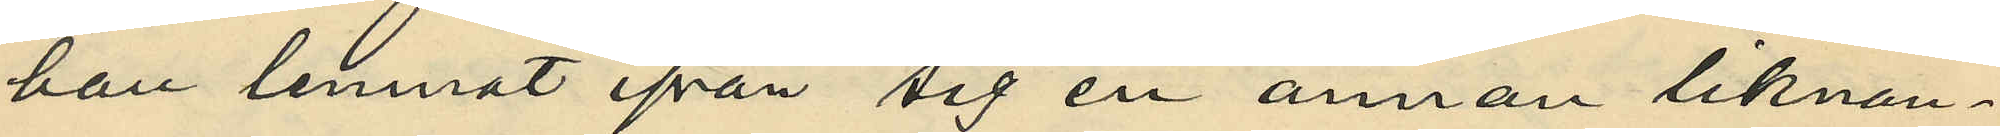han lemnat ifrån sig en annan liknan¬
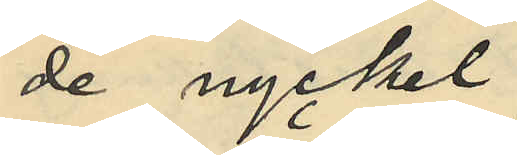de nyckel;
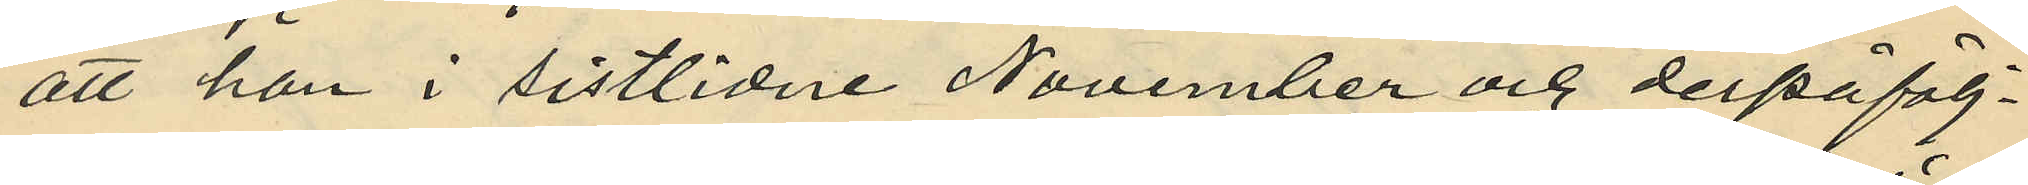att han i sistlidne November och derpåfölj¬
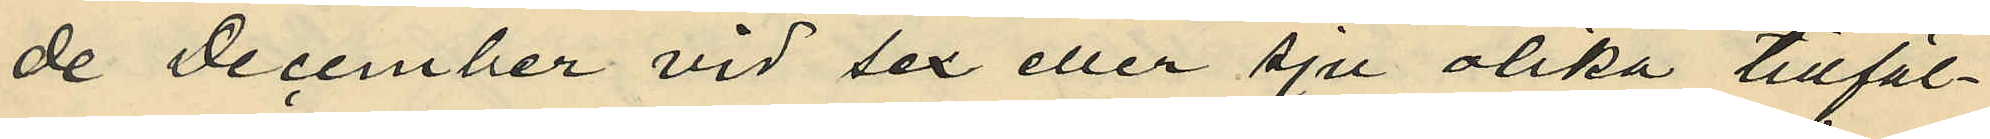de December vid sex eller sju olika tillfäl¬
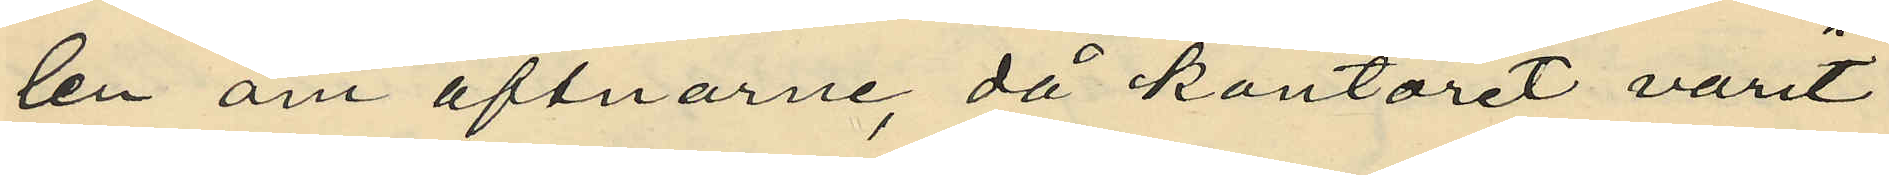len om aftnarne, då kontoret varit
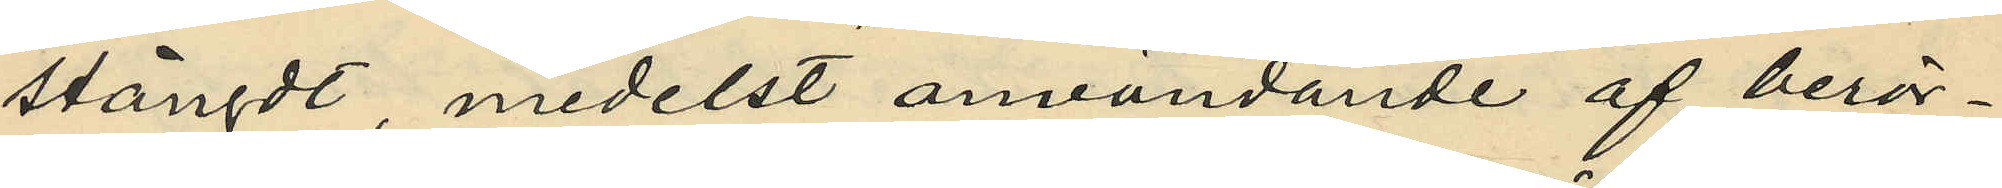stängdt, medelst användande af berör¬
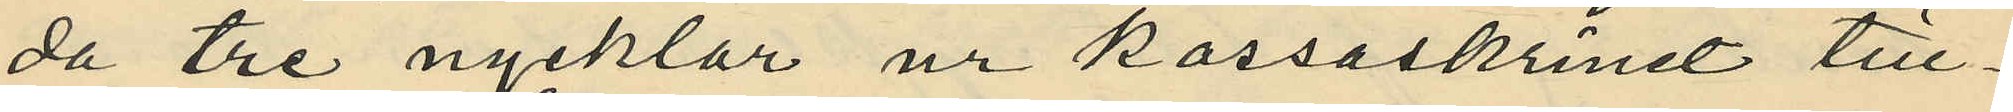da tre nycklar ur kassaskrinet till¬
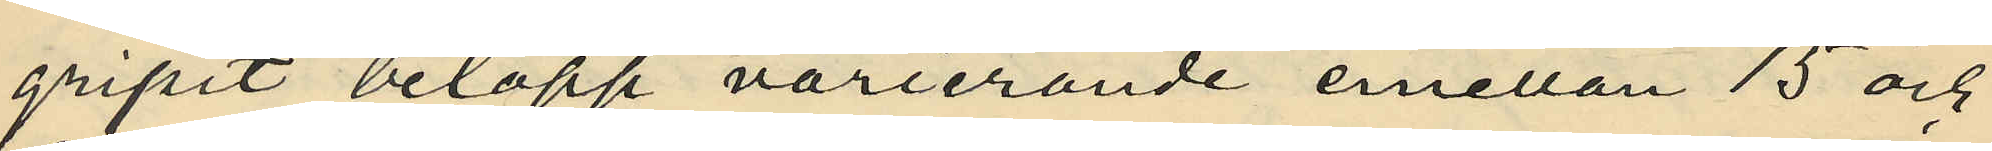gripit belopp varierande emellan 15 och
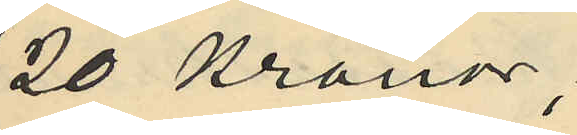20 Kronor;
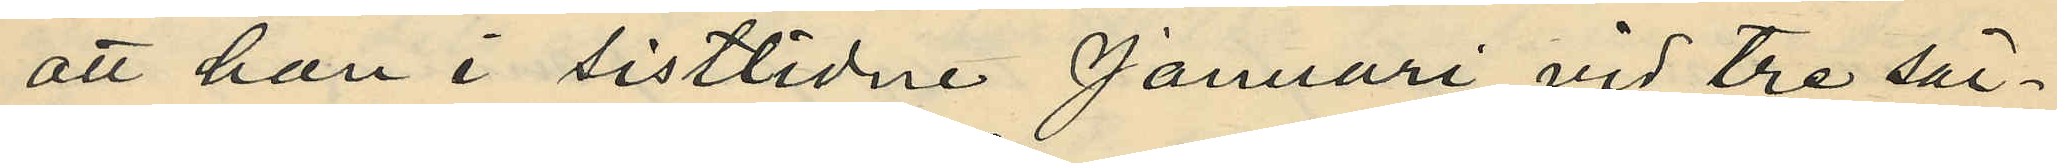att han i sistlidne Januari vid tre sär¬
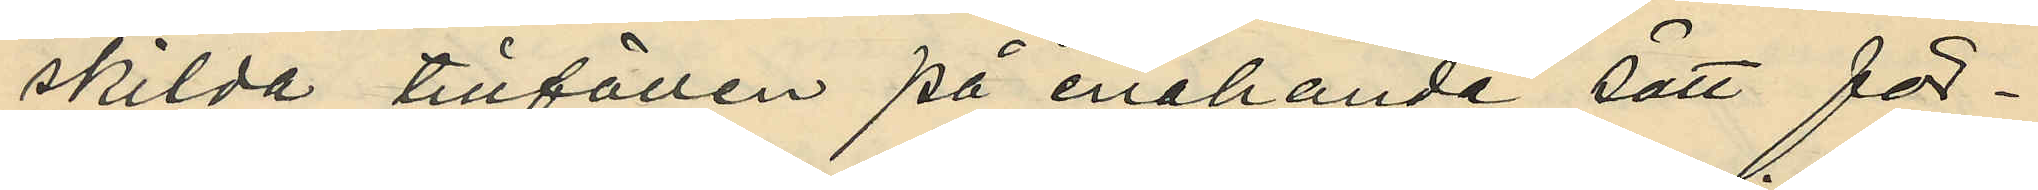skilda tillfällen på enahanda sätt för¬
